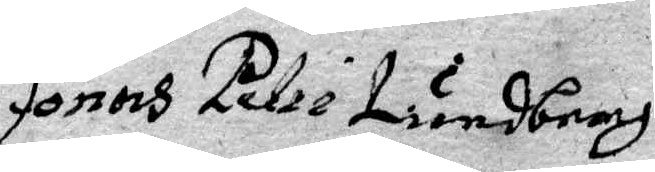Jonas Petri Lindberg
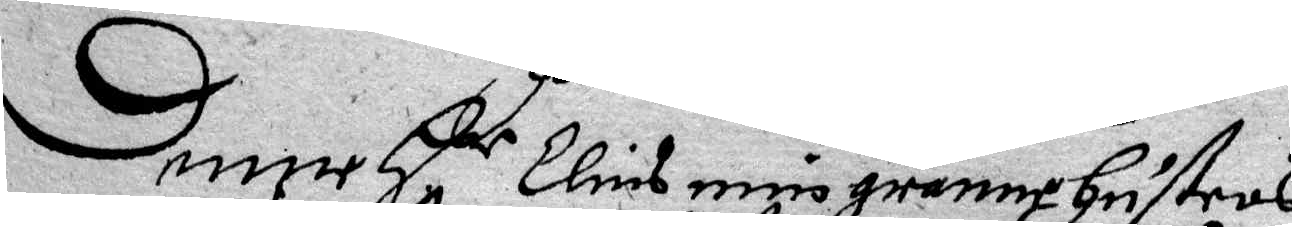Denne Hr Elins min granne Hustrus
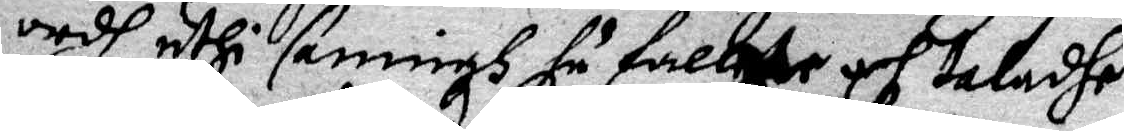ordh uthi saningh falte och taladhe
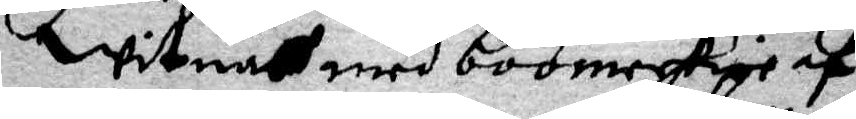witnar med boomerkie af
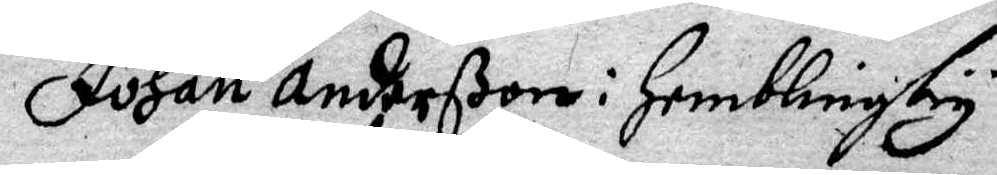Jogan Anderßon i Hemblinby
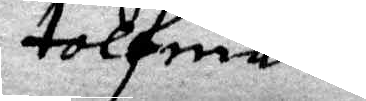tolfman
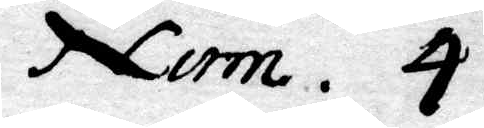Num. 4.
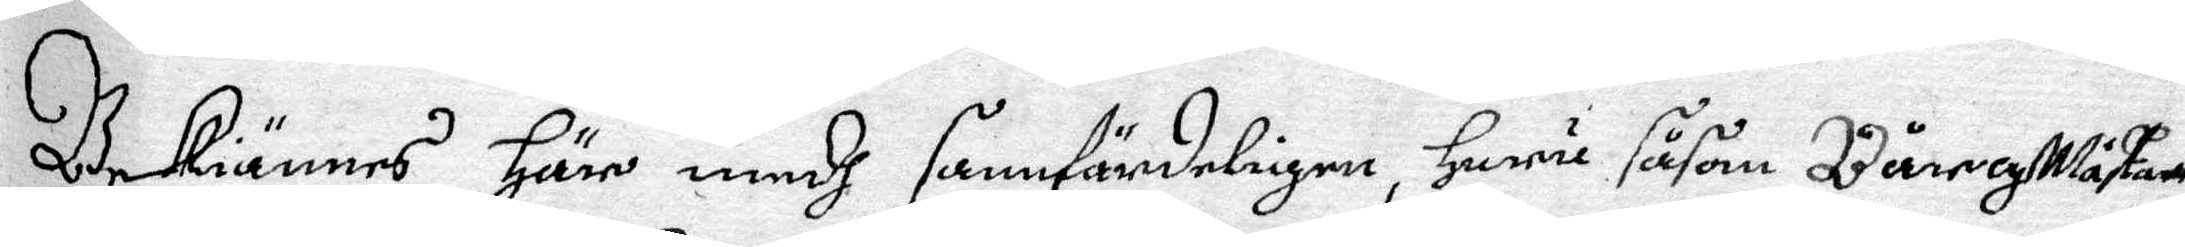Bekiännes Härr medh sanfärdeligen, Huru såsom Bårgmästare¬
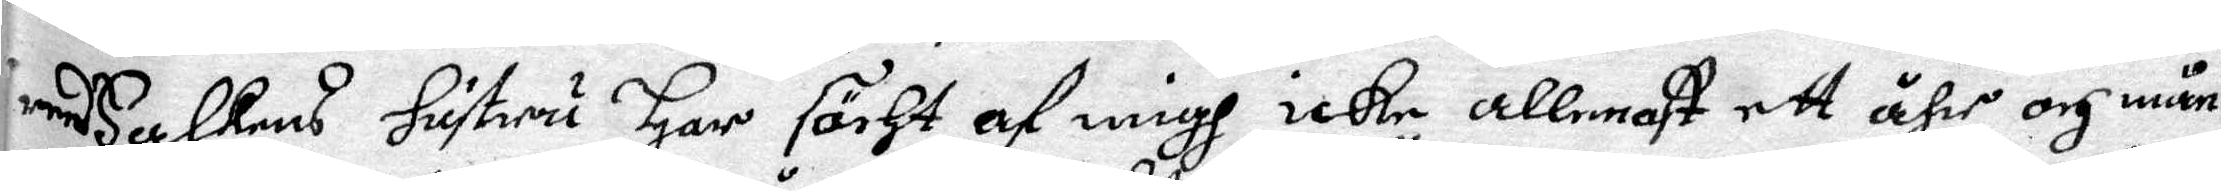med Falkens Hustru Har söcht af migh icke allenast ett åhr och mån¬
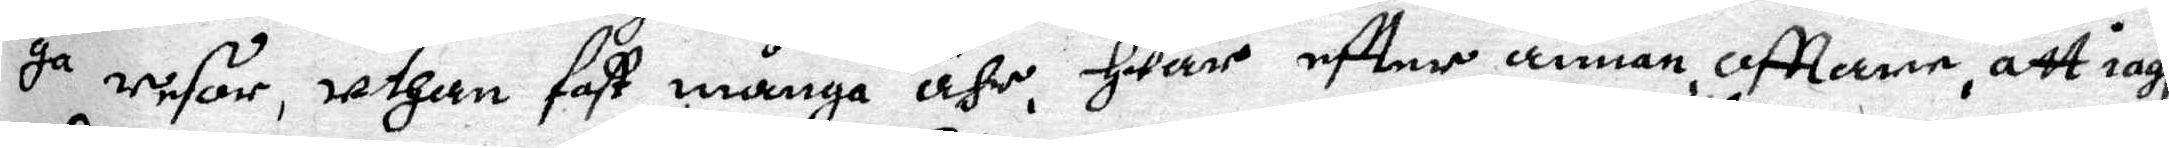ga resor, uthan fast många ähr, Hwar eftter annan ofttane, att iagh
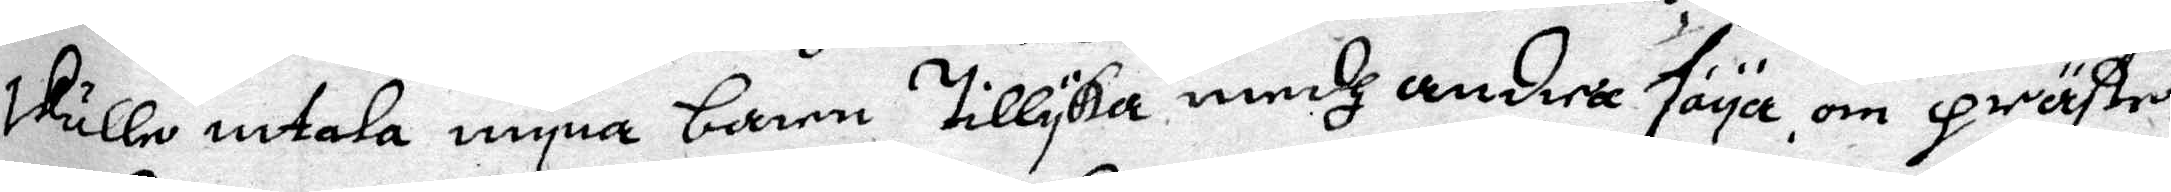skulle intala myna barn Tillyka medh andra säya, om präste¬
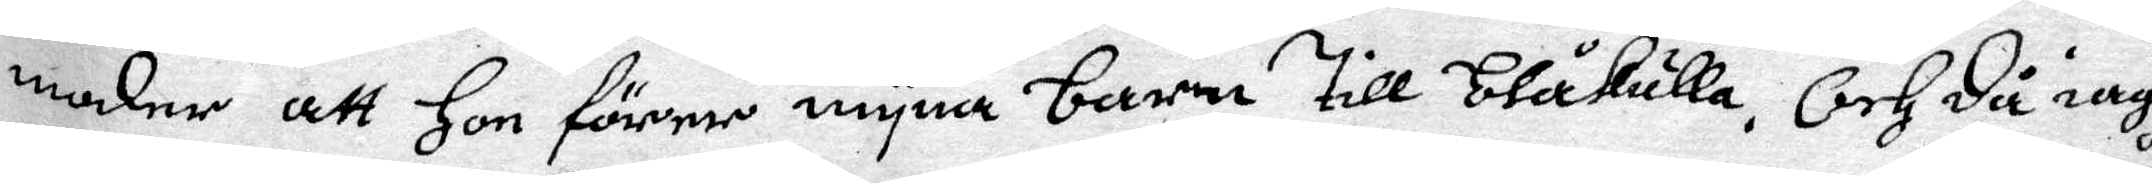moder att Hon förer myna barn Till blåkulla. Och då iagh
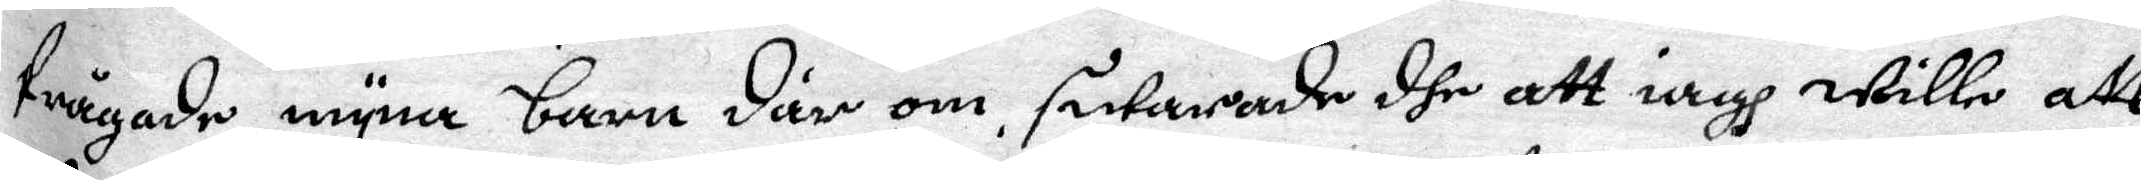frågade myna barn där om, swarade dhe att iagh wille att
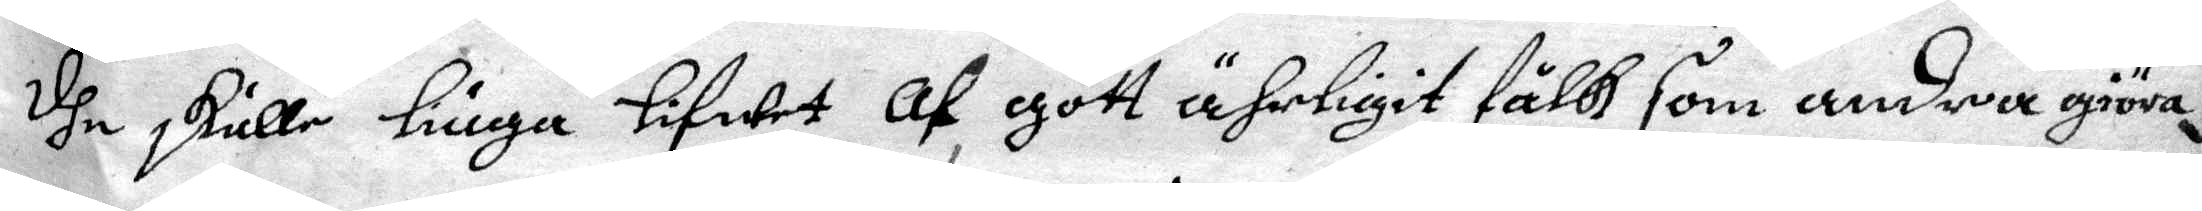dhe skulle liuga Lifwet af gott ährligit fålk som andra giöra,
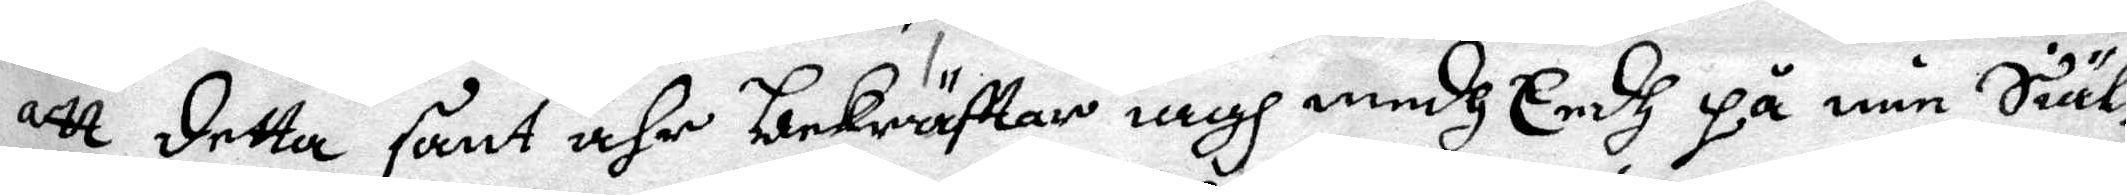att detta sant ähr bekräfttas iagh medh Eedh på min Siälz
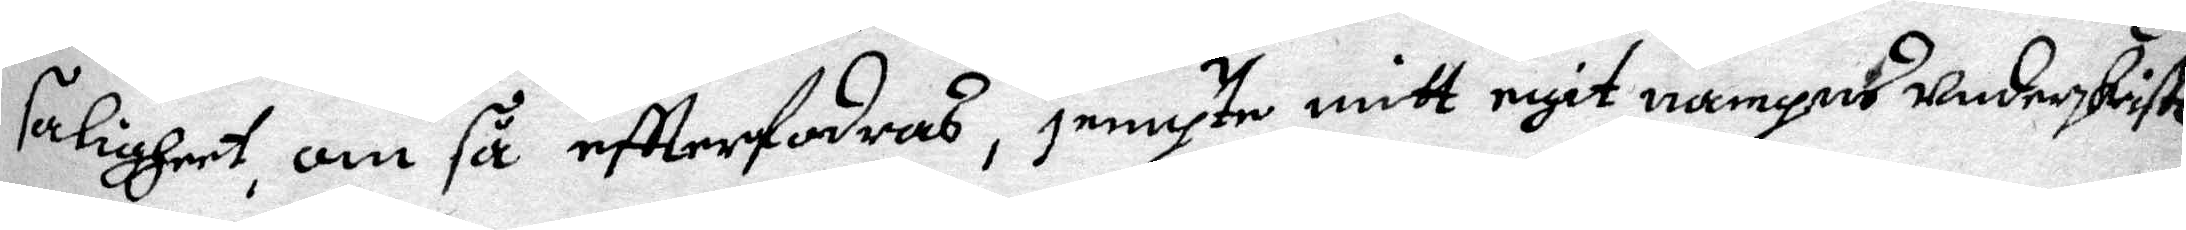saligheet, om så eftterfodras, jempte mitt egit nampns underskriftt
